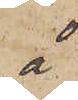å
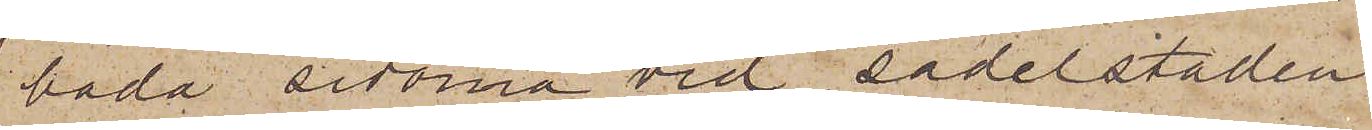båda sidorna vid sadelstaden,
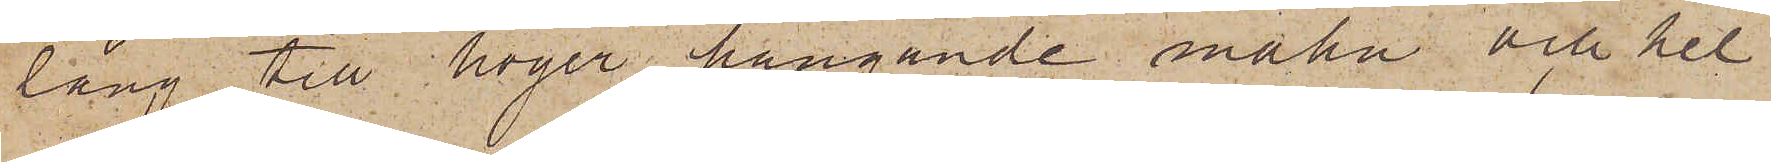lång, till höger hängande mahn och hel¬
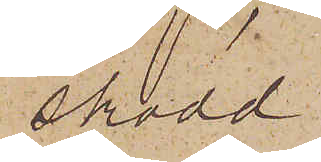skodd
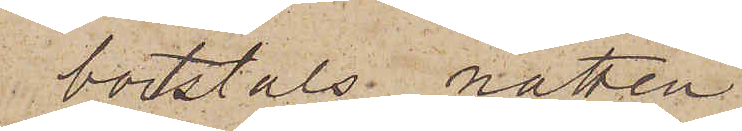bortstals natten
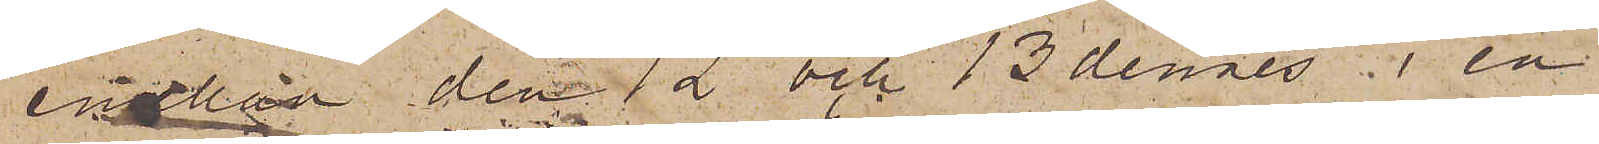emellan den 12 och 13 dennes i en
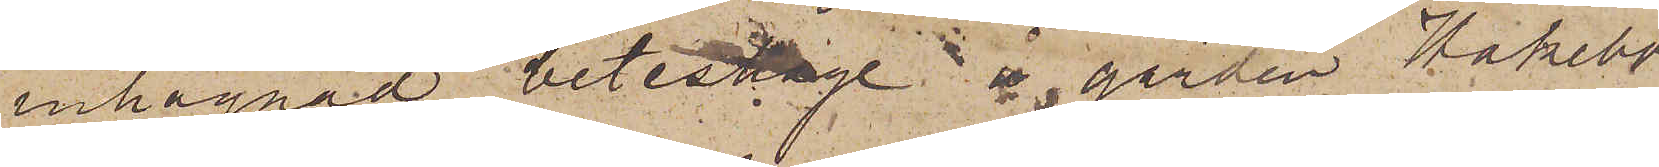inhägnad beteshage å gården Hakebo
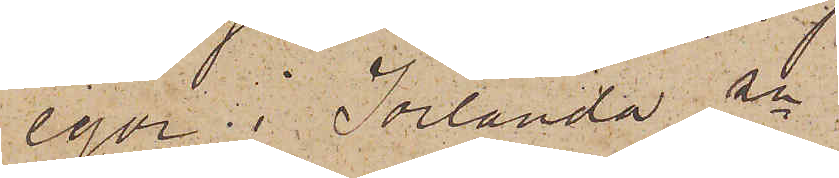egor i Jörlanda sn
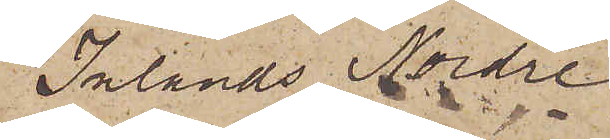Inlands Nordre
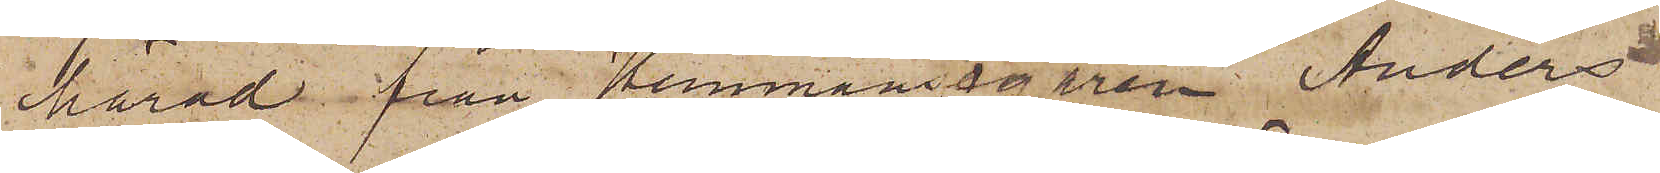härad från Hemmansegaren Anders
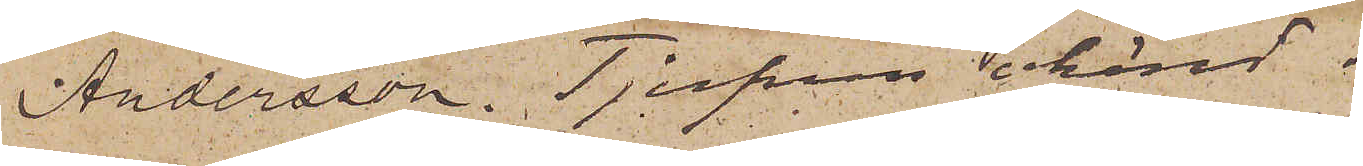Andersson. Tjufven okänd.
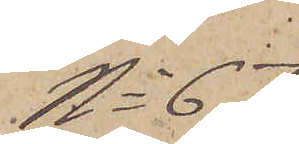No 67
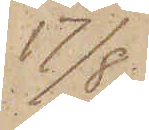17/8.
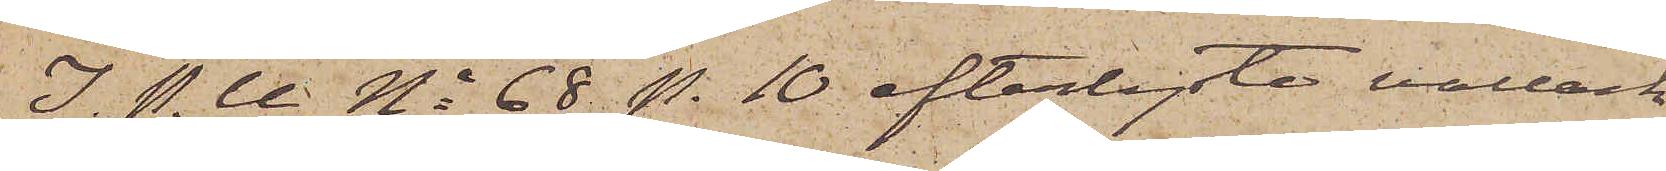i. P. U No 68 p. 10 efterlyste vallack
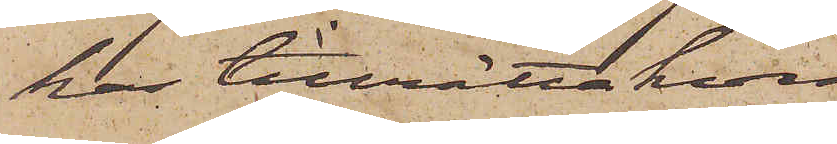har tillrättakommit.
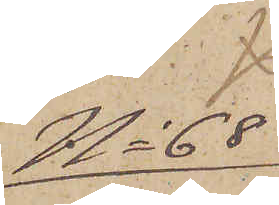No 68
